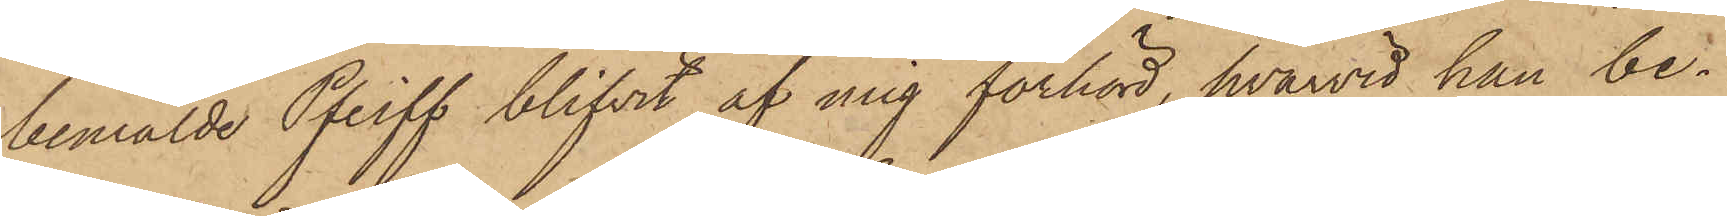bemälde Pfeiff blifvit af mig förhörd, hvarvid han be¬
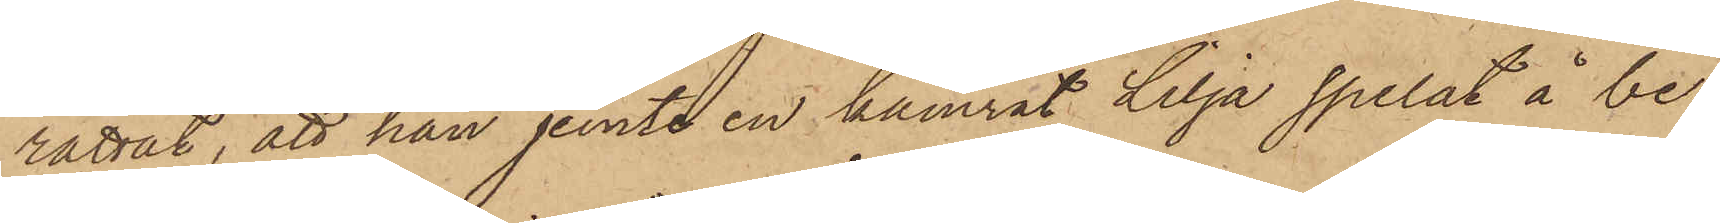rättat, att han jemte en kamrat Lilja spelat å be¬
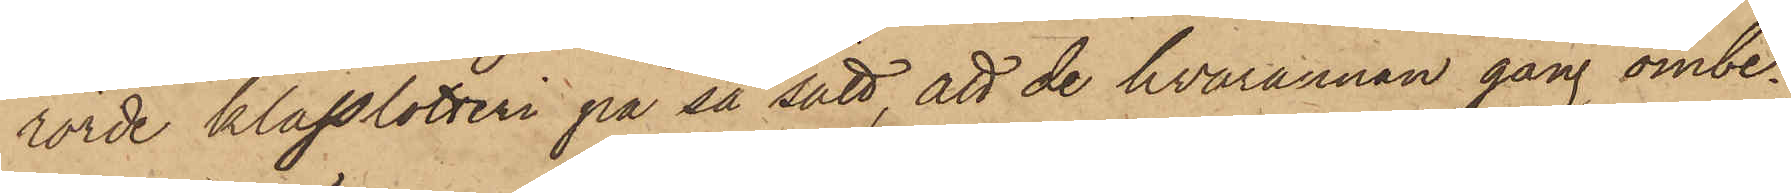rörde klasslotteri på så sätt, att de hvarannan gång ombe¬
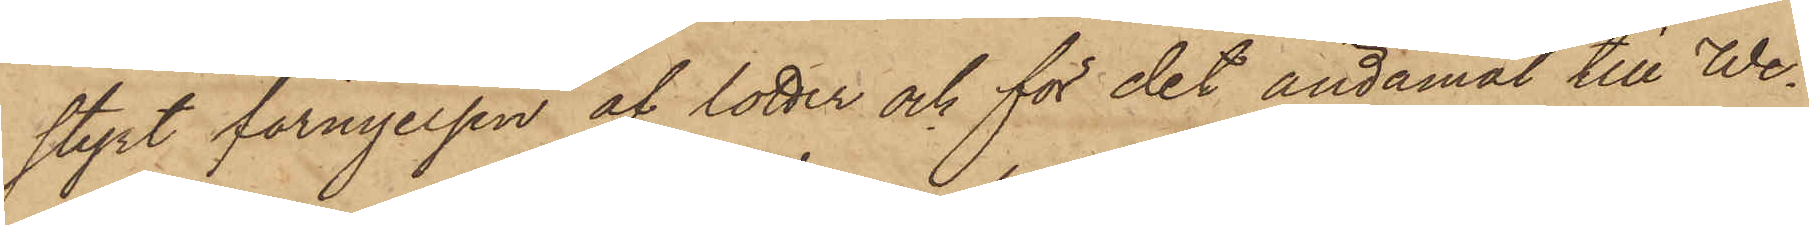styrt förnyelsen af lotter och för det ändamål till We¬
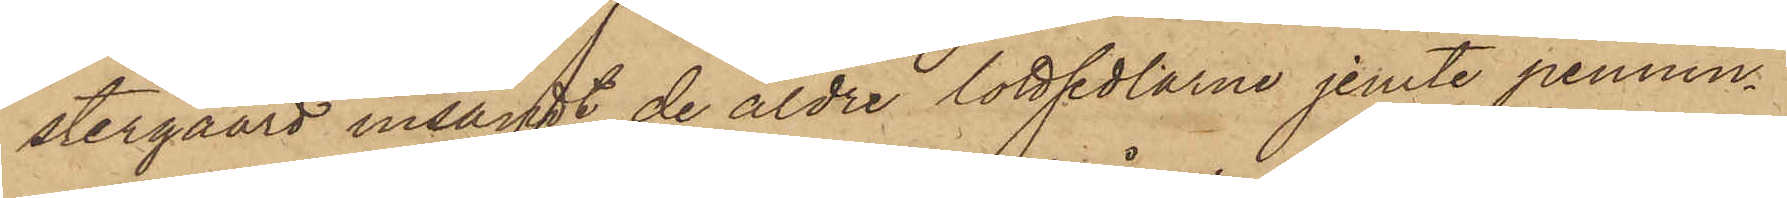stergaard insamt de äldre lottsedlarne jemte pennin¬
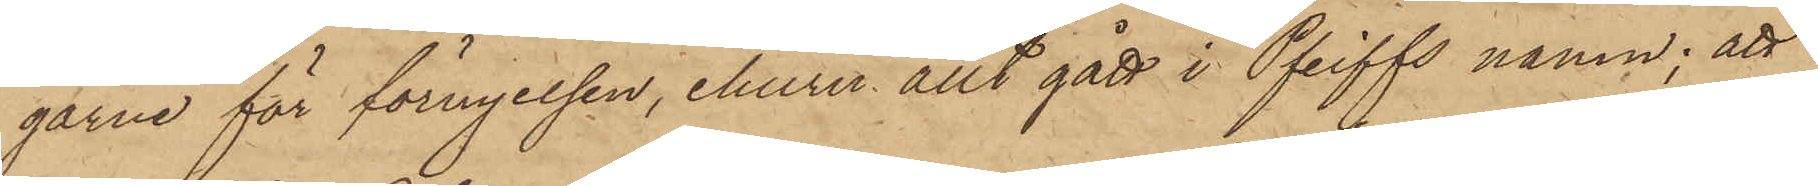garne för förnyelsen, ehuru allt gått i Pfeiffs namn; att
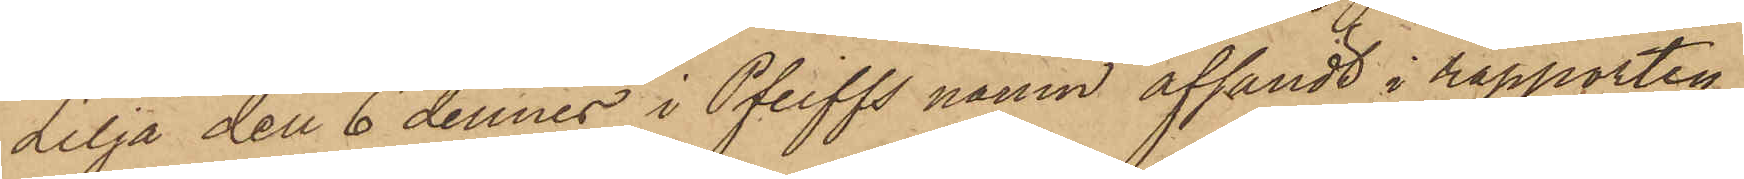Lilja den 6 dennes i Pfeiffs namn afsändt i rapporten
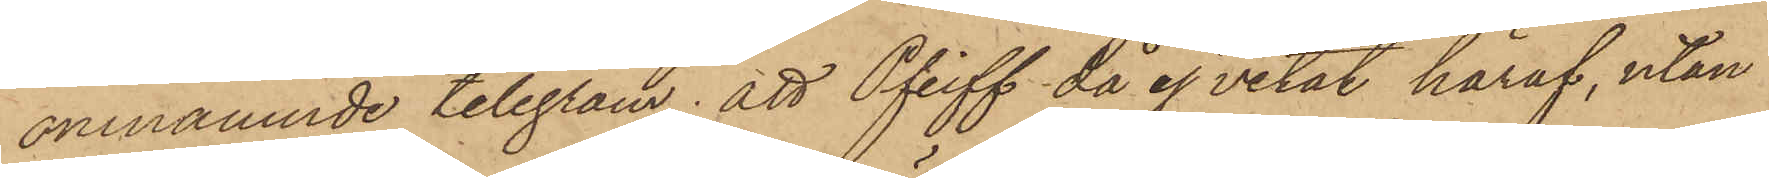omnämnde telegram; att Pfeiff då ej vetat häraf, utan
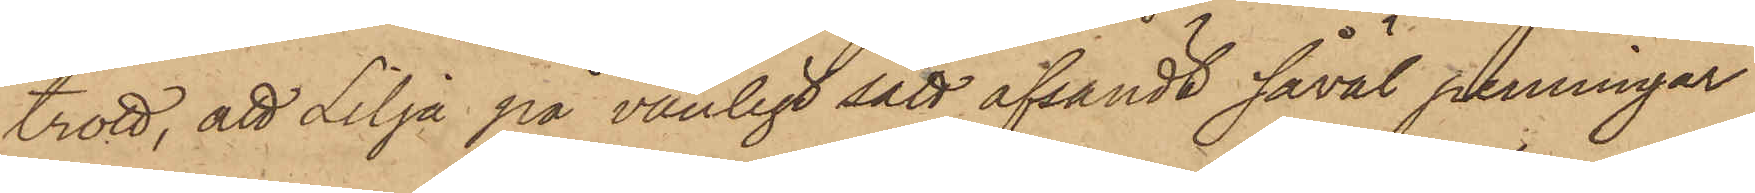trott, att Lilja på vanligt sätt afsändt såväl penningar
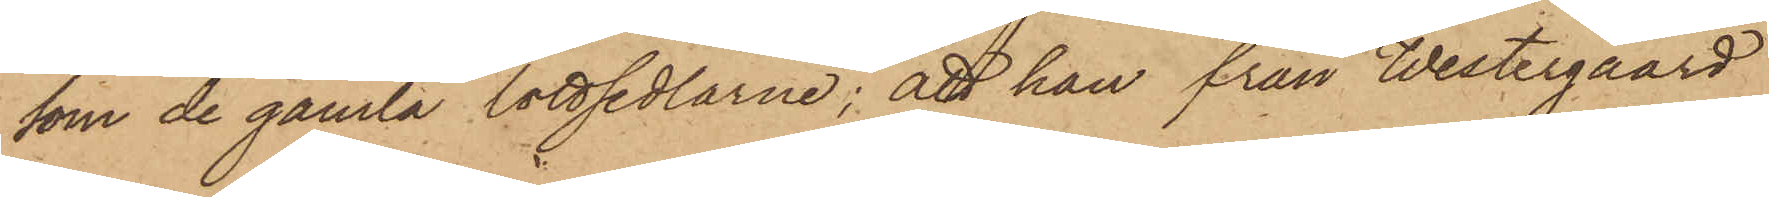som de gamla lottsedlarne; att han från Westergaard
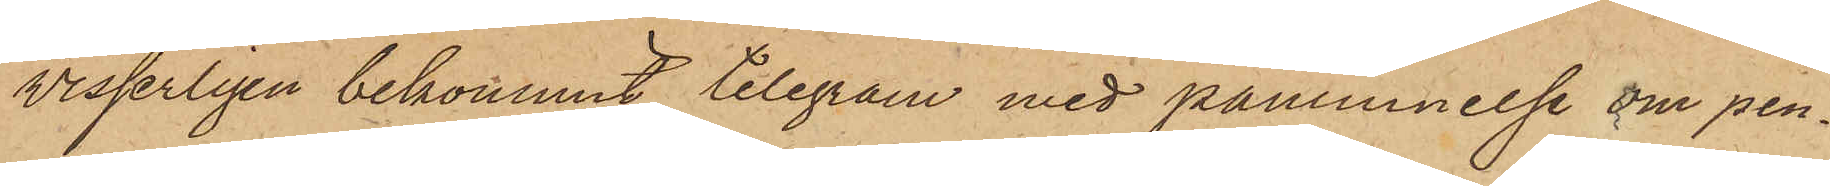visserligen bekommit telegram med påminnelse om pen¬
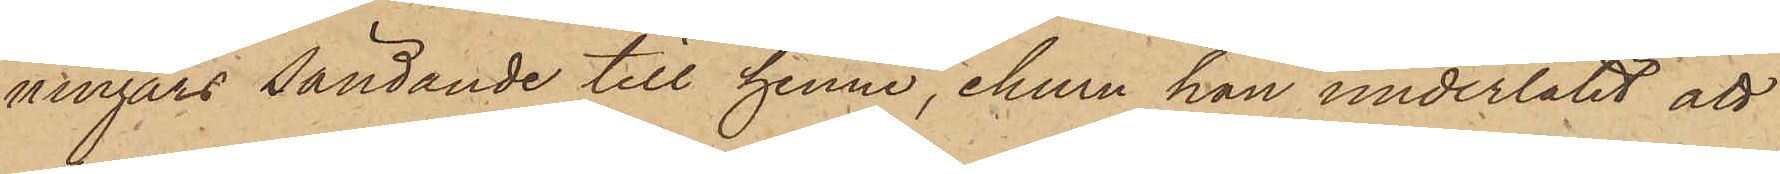ningars sändande till henne, ehuru han underlåtit att
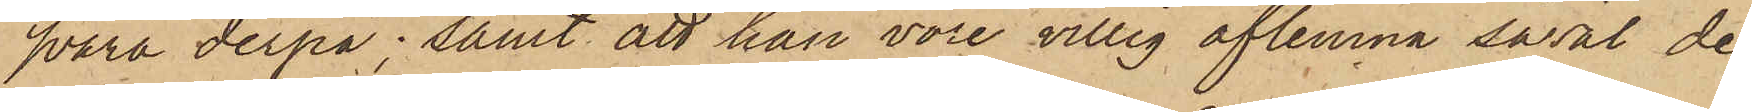svara derpå; samt att han vore villig aflemna såväl de
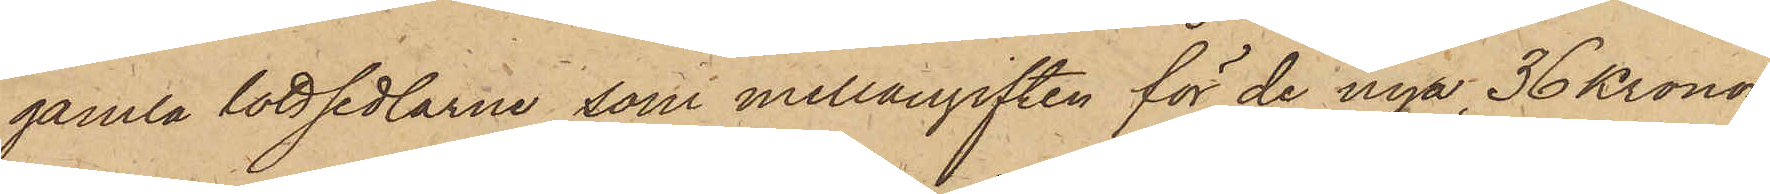gamla lottsedlarne som mellangiften för de nya 36 Kronor
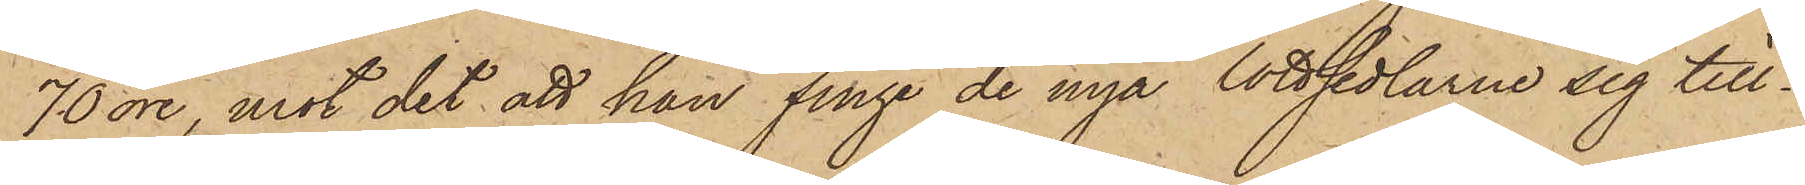70 öre, mot det att han finge de nya lottsedlarne sig till¬
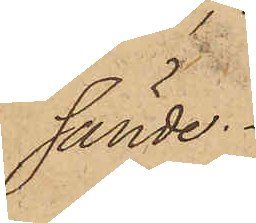sände.
